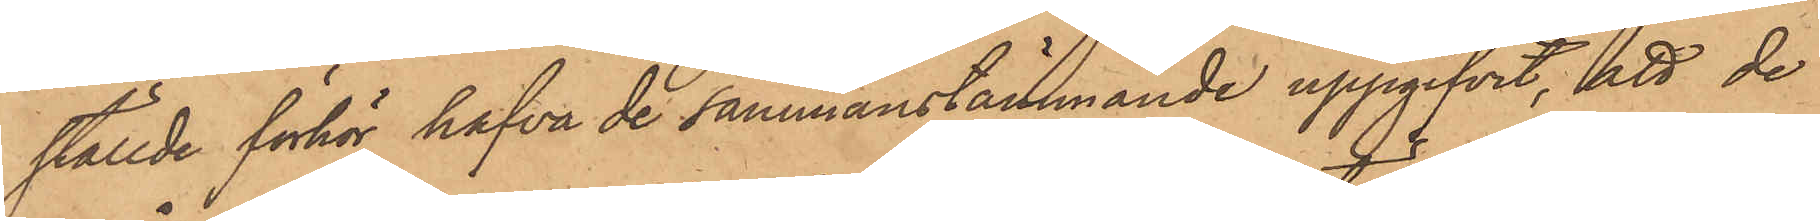ställde förhör hafva de sammanstämmande uppgifvit, att de
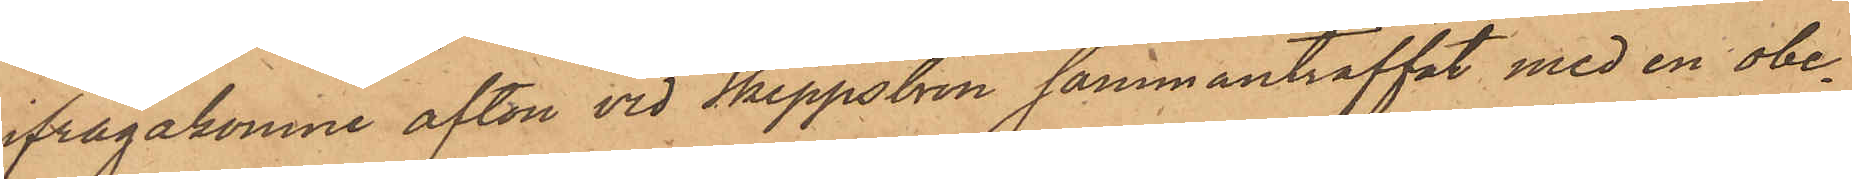ifrågakomne afton vid Skeppsbron sammanträffat med en obe¬
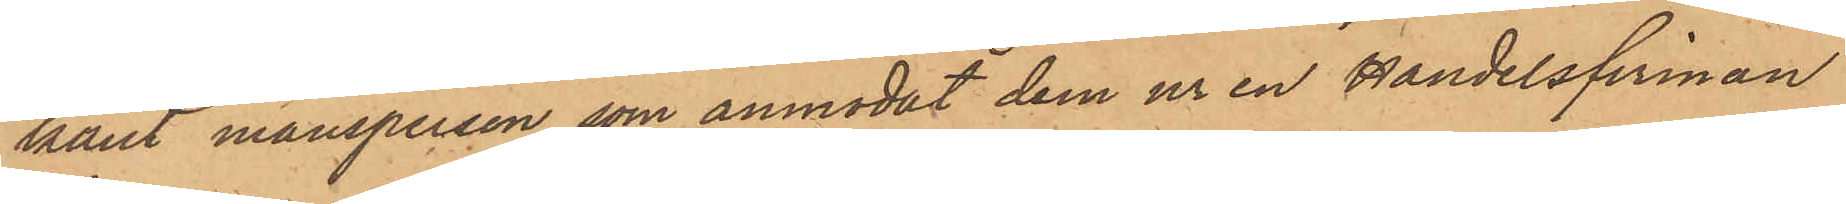kant mansperson, som anmodat dem ur en Handelsfirman
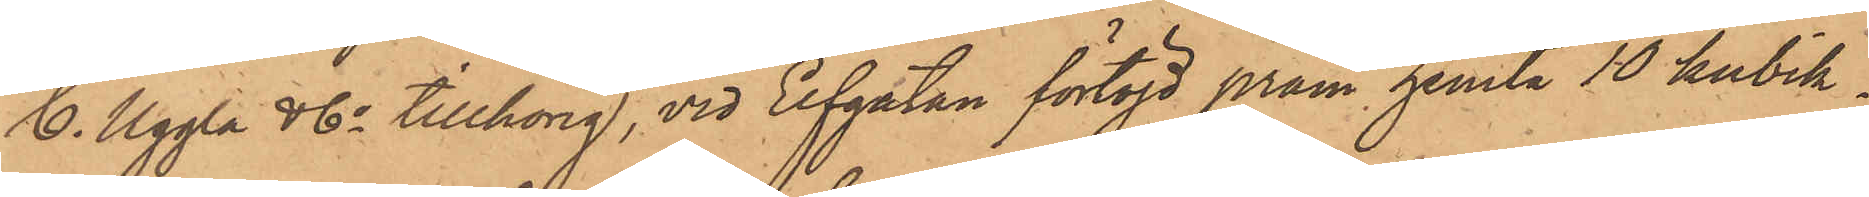C. Uggla & Co tillhörig, vid Elfgatan förtöjd pråm, hemta 10 Kubik¬
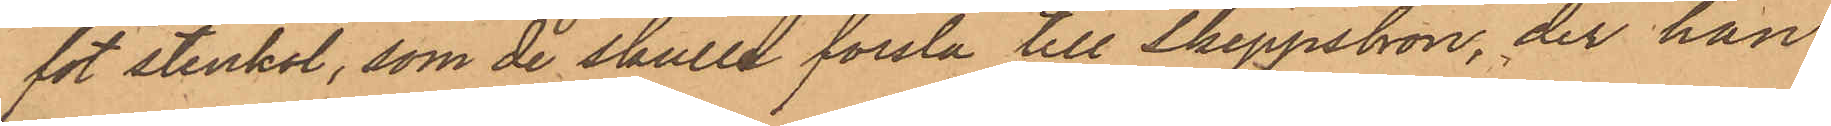fot stenkol, som de skulle forsla till Skeppsbron, der han
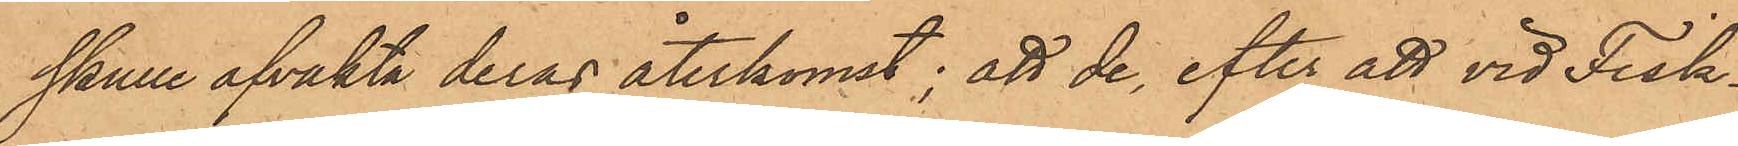skulle afvakta deras återkomst; att de, efter att vid Fisk¬
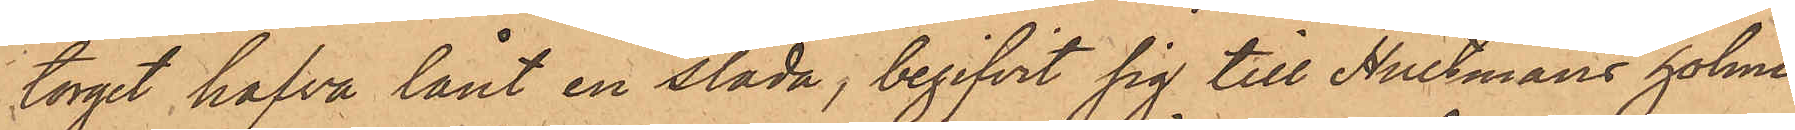torget hafva lånt en släde, begifvit sig till Hultmans holme
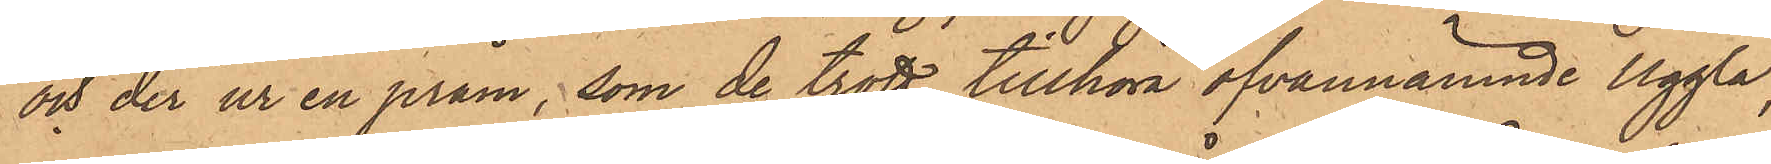och der ur en pråm, som de trott tillhöra ofvannämnde Uggla,
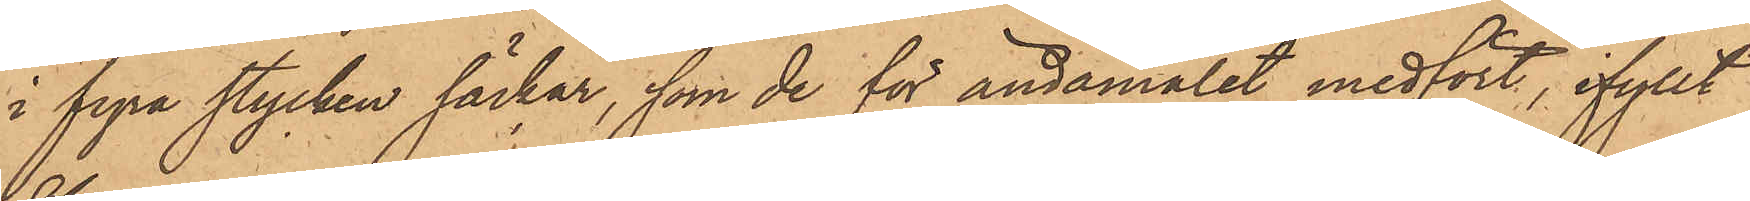i fyra stycken säckar, som de för ändamålet medfört, ifyllt
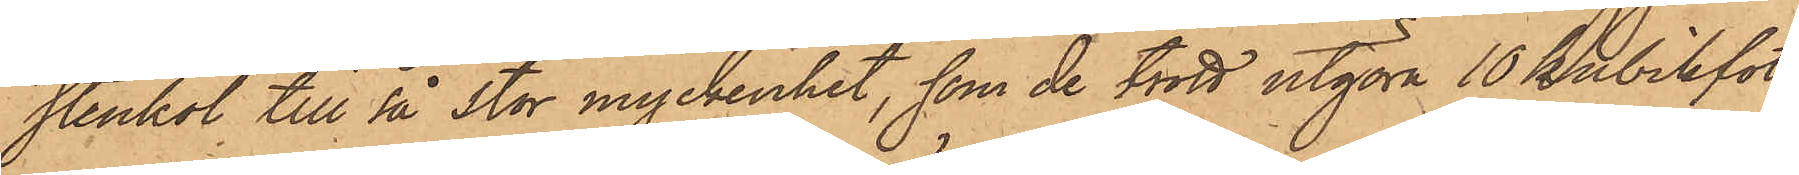stenkol till så stor myckenhet, som de trott utgöra 10 kubikfot,
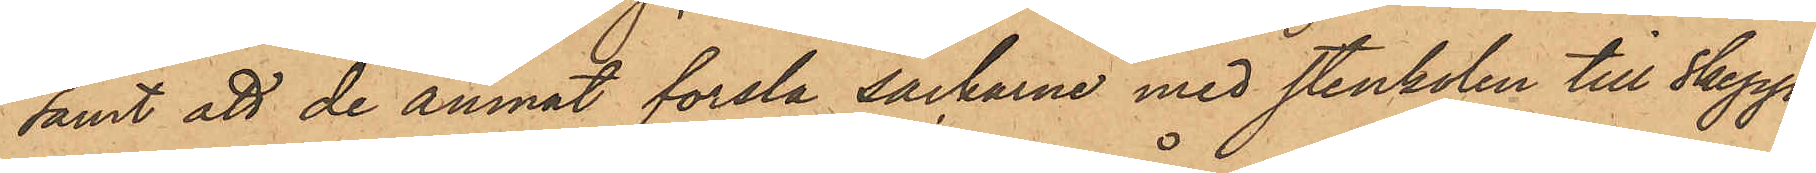samt att de ämnat forsla säckarne med stenkolen till Skepps¬
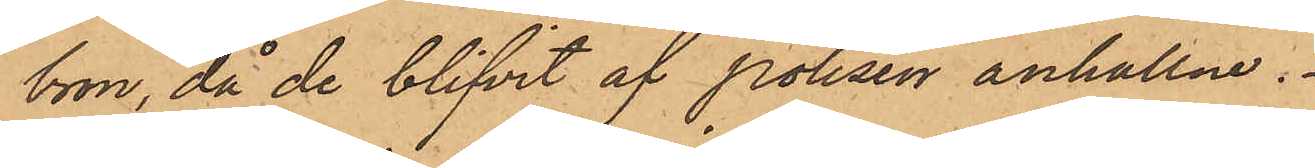bron, då de blifvit af Polisen anhållne.
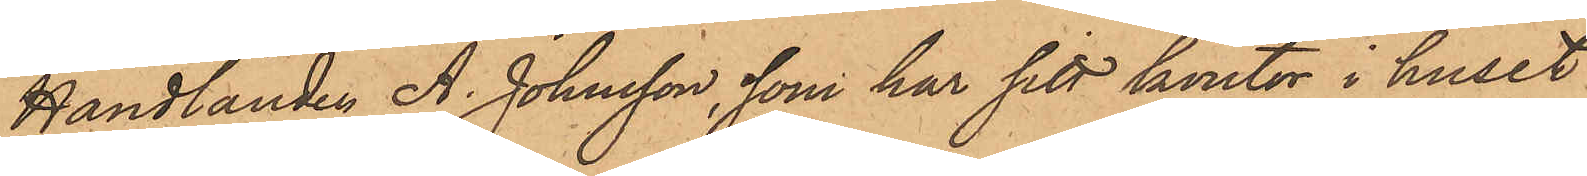Handlanden A. Johnsson, som har sitt kontor i huset
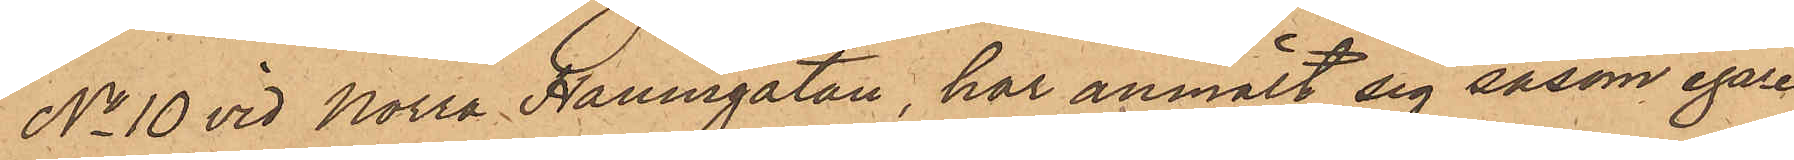No 10 vid Norra Hamngatan, har anmält sig såsom egare
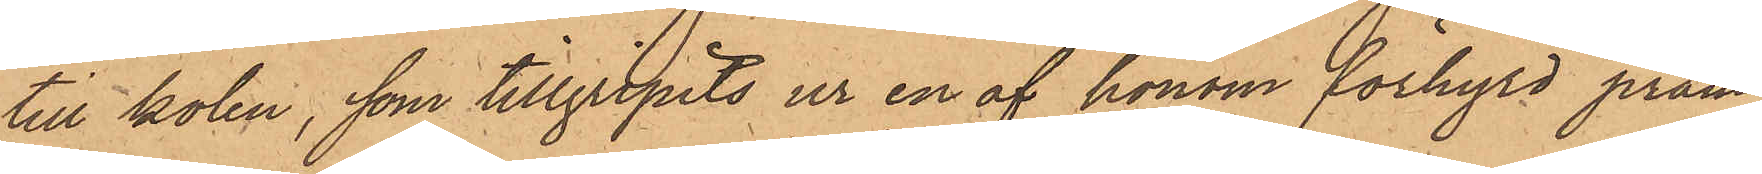till kolen, som tillgripits ur en af honom förhyrd pråm
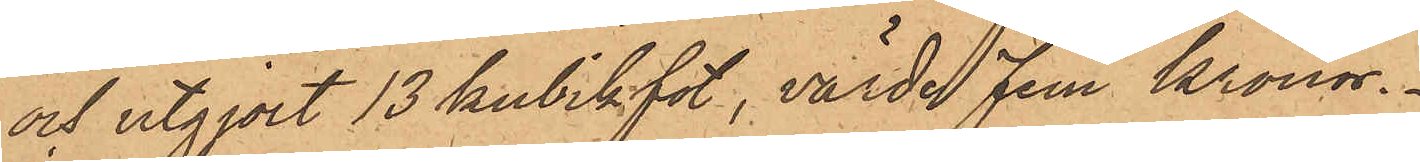och utgjort 13 kubikfot, värde fem Kronor.
